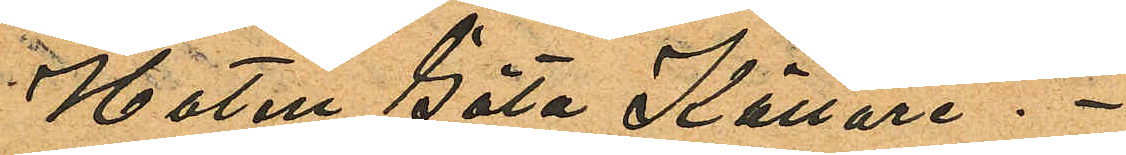Hotell Göta Källare.
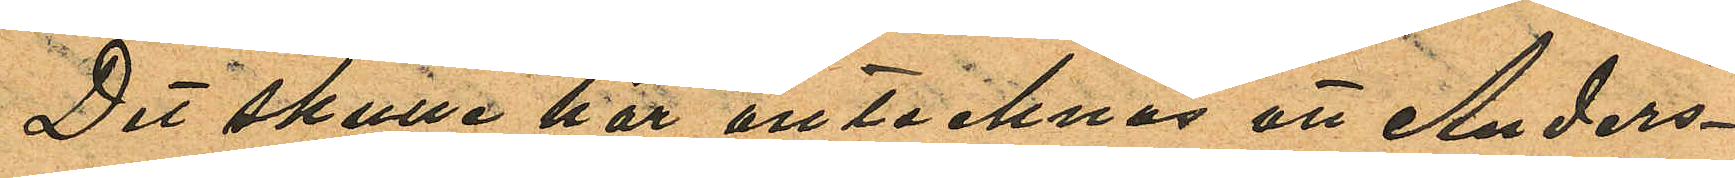Det skulle här antecknas att Anders¬
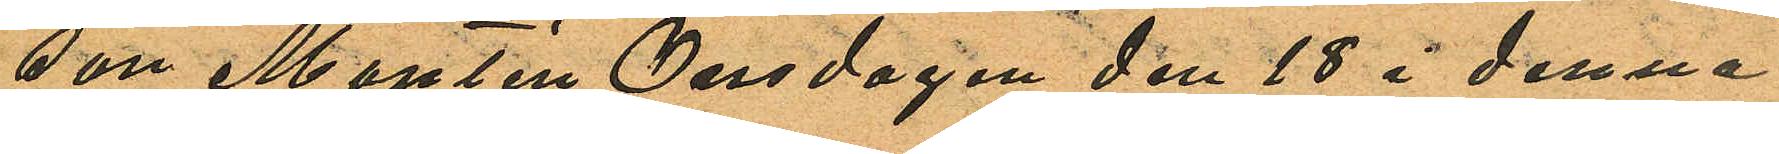son Montén Onsdagen den 18 i denna
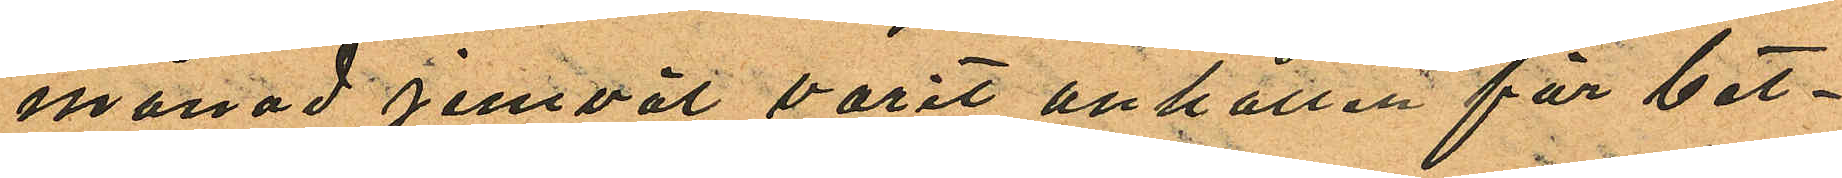månad jemväl varit anhållen för bet¬
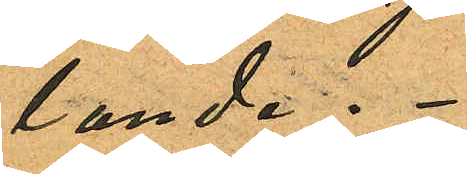lande.
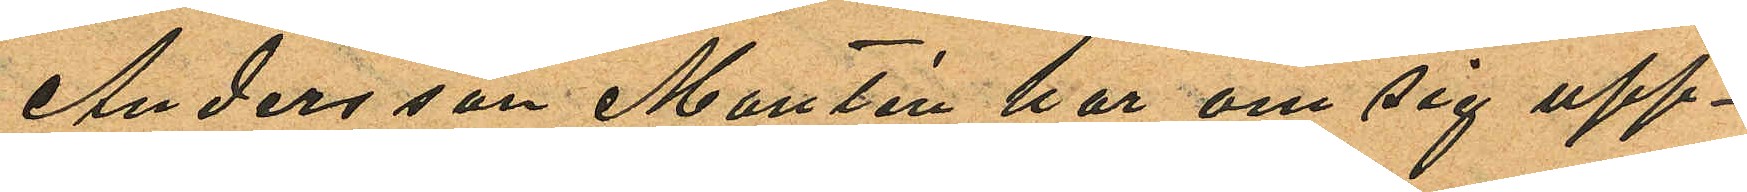Andersson Montén har om sig upp¬
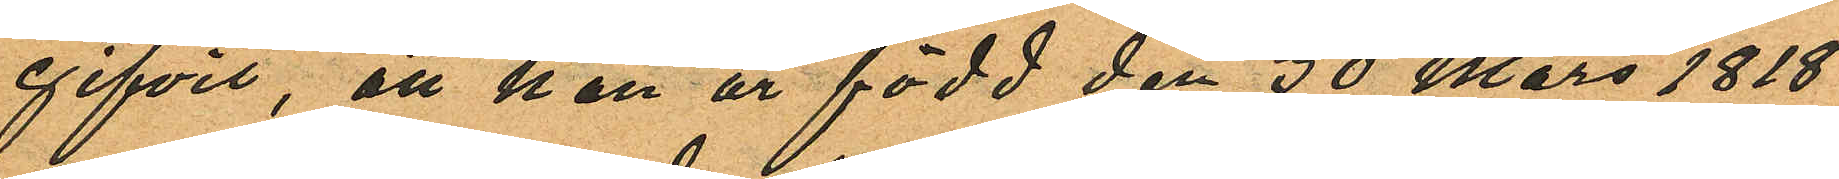gifvit, att han är född den 30 Mars 1818
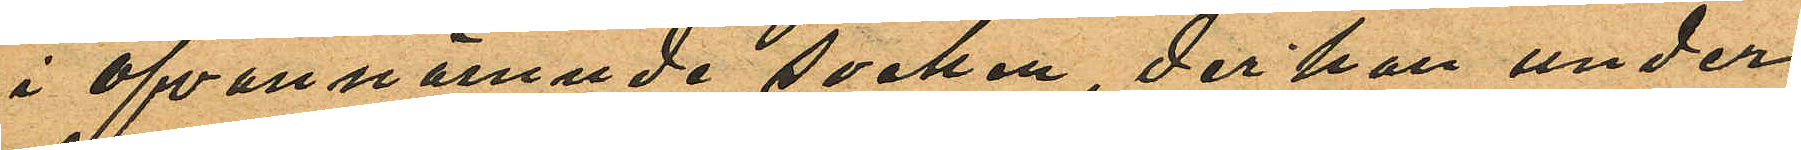i ofvannämnde socken, der han under
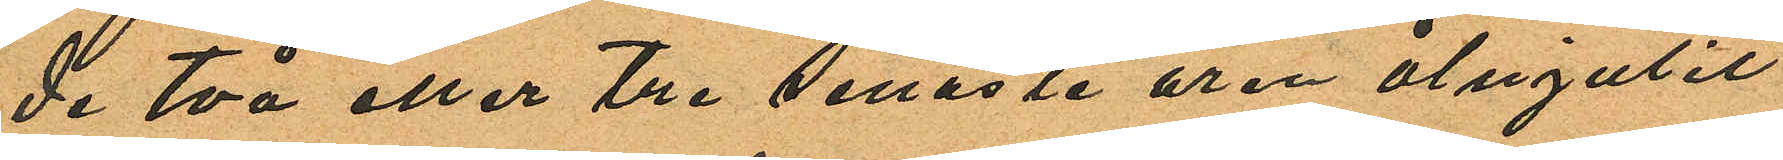de två eller tre senaste åren åtnjutit
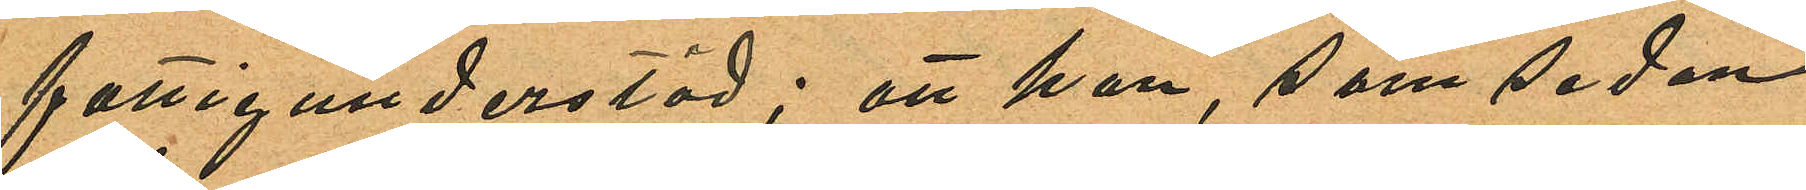fattigunderstöd; att han, som sedan
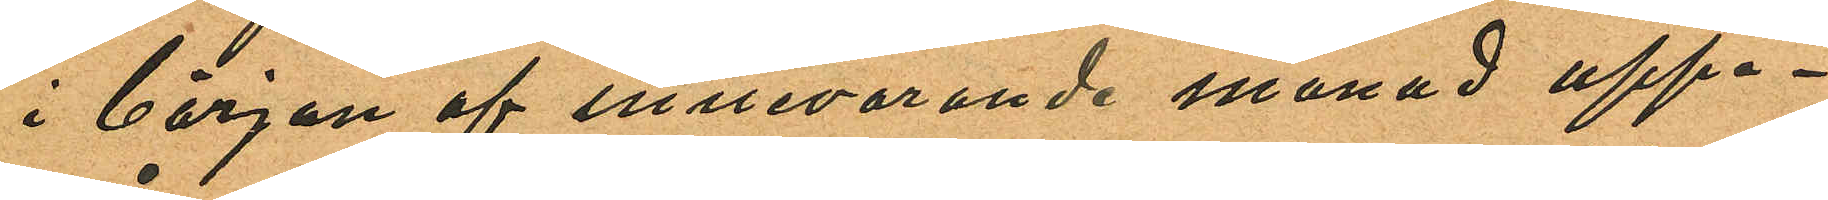i början af innevarande månad uppe¬
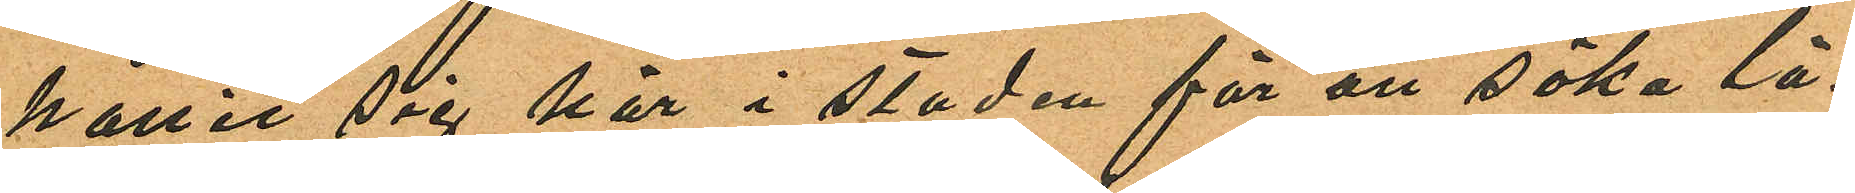hållit sig här i staden för att söka lä¬
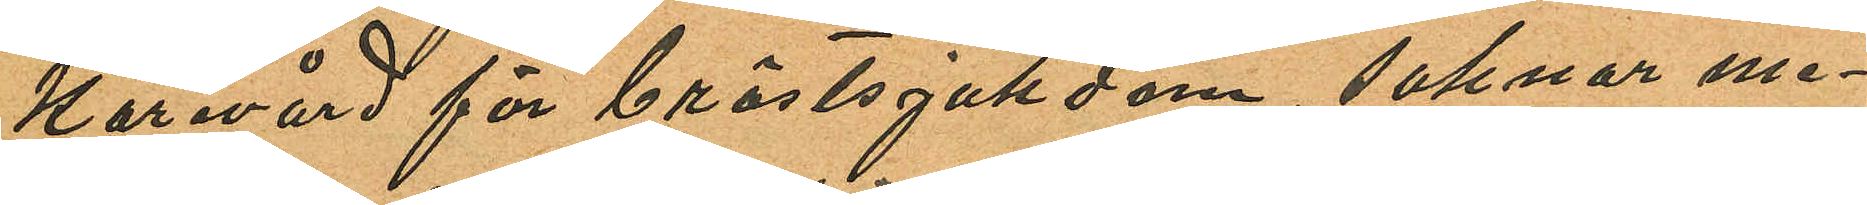karevård för bröstsjukdom, saknar me¬
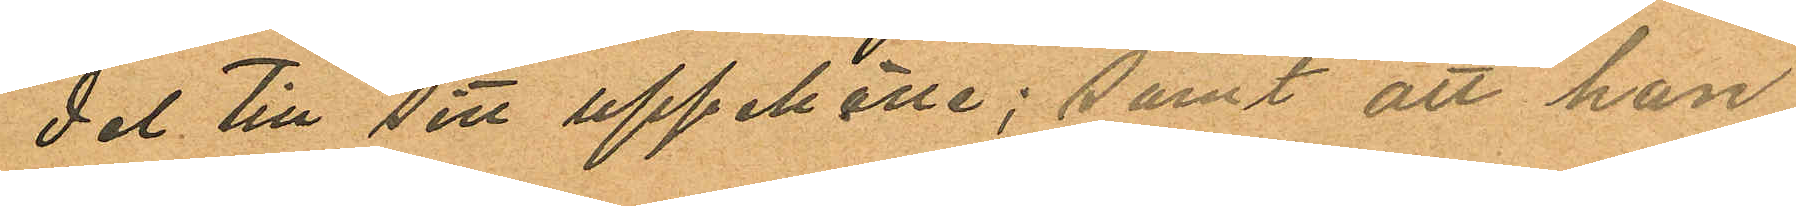del till sitt uppehälle; samt att han
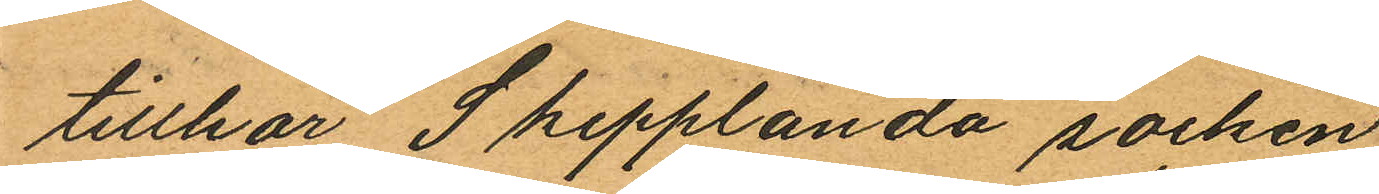tillhör Skepplanda socken
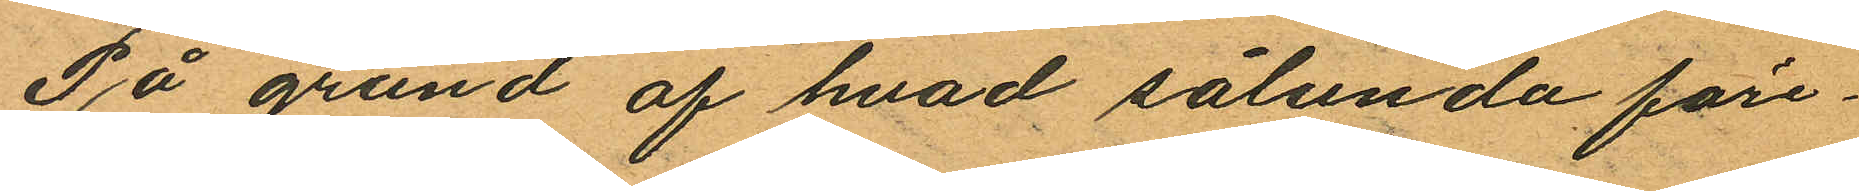På grund af hvad sålunda före¬
